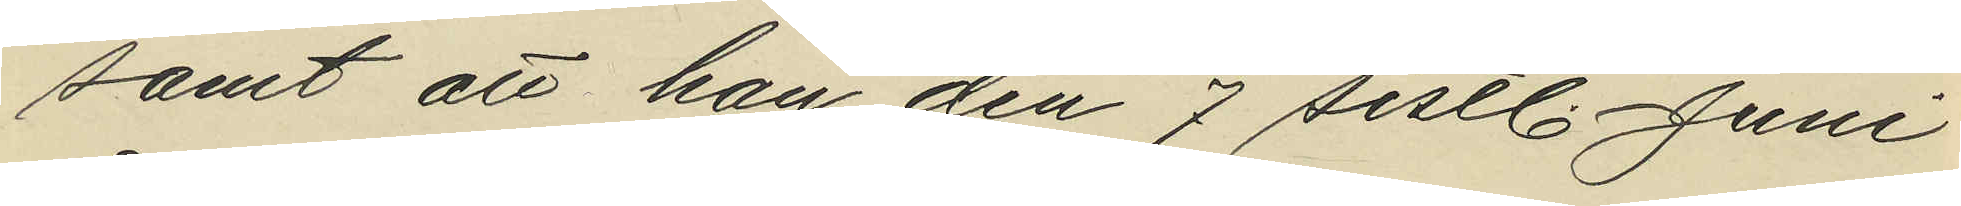samt att han den 7 sistl. Juni
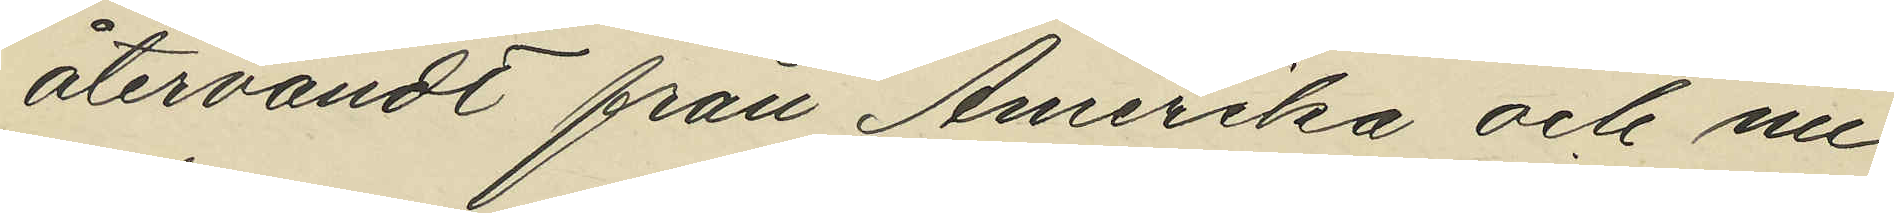återvändt från Amerika och nu
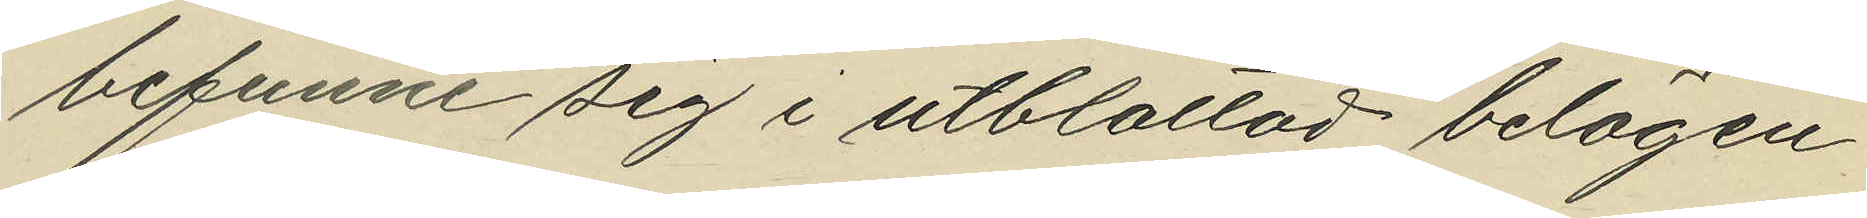befunne sig i utblottad belägen¬
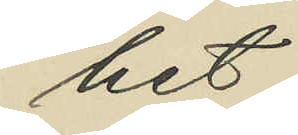het.
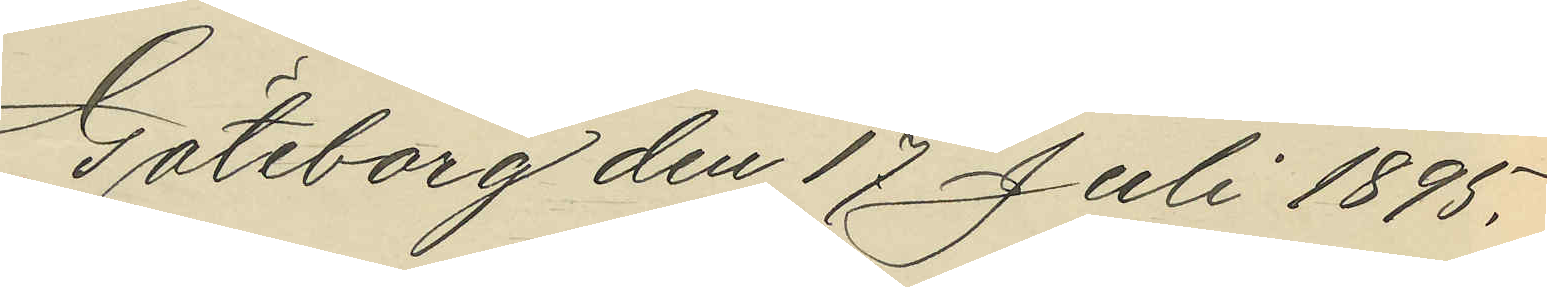Göteborg den 17 Juli 1895.
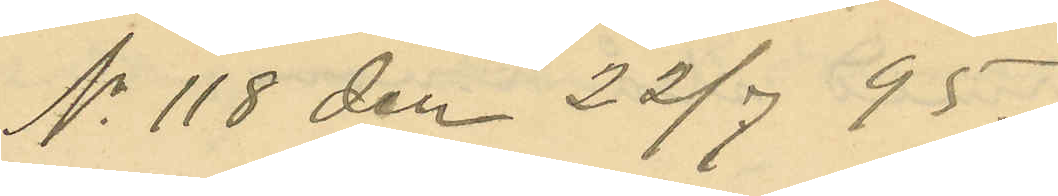No 118 den 22/7 95.
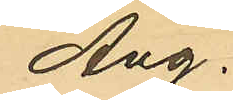Ang.
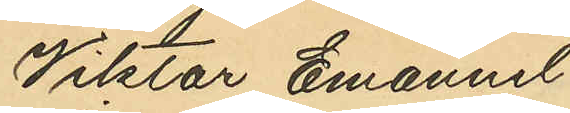Viktor Emanuel
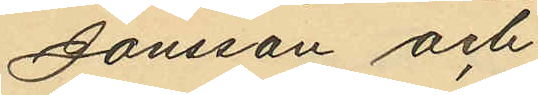Jonsson och
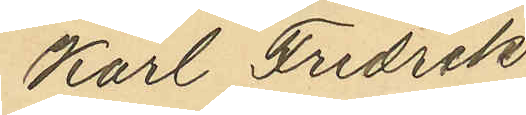Karl Fredrik
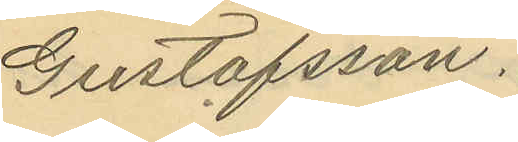Gustafsson.
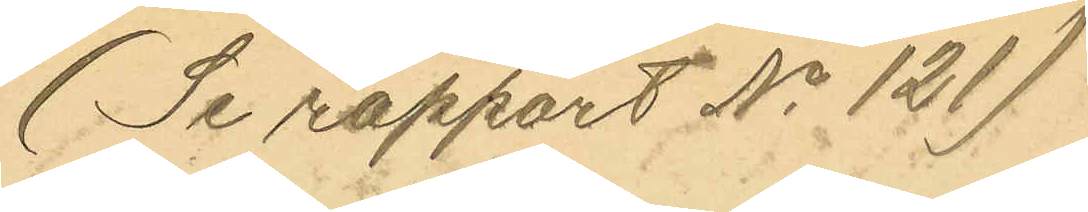(Se rapport No 121)
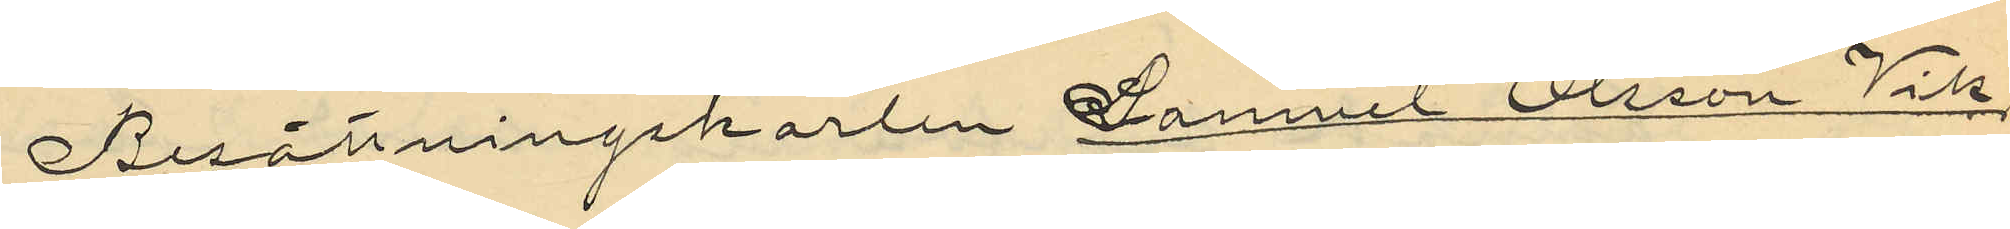Besättningskarlen Samuel Olsson Vik
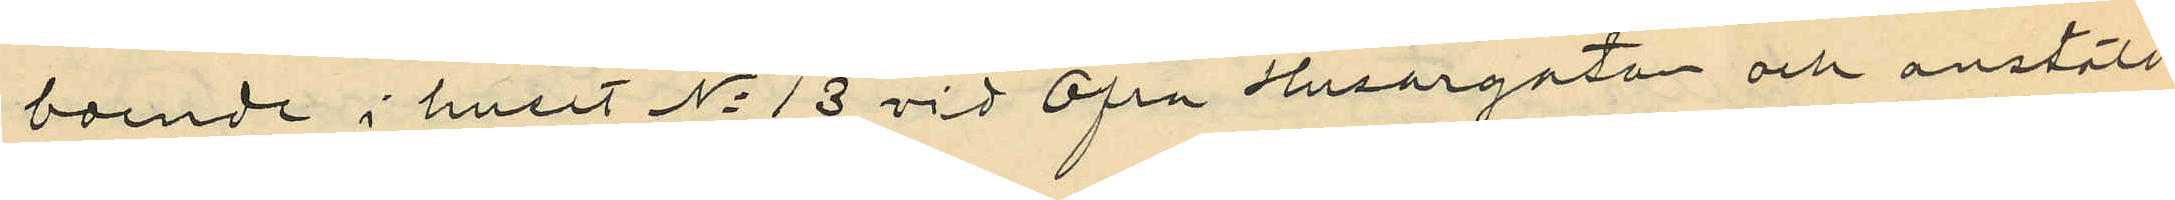boende i huset No 13 vid Öfre Husargata och anstäld
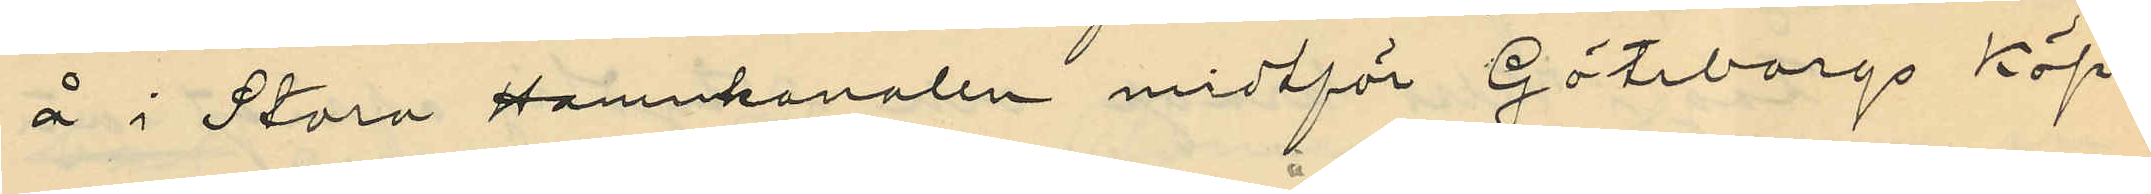å i Stora Hamnkanalen midtför Göteborgs Köp¬
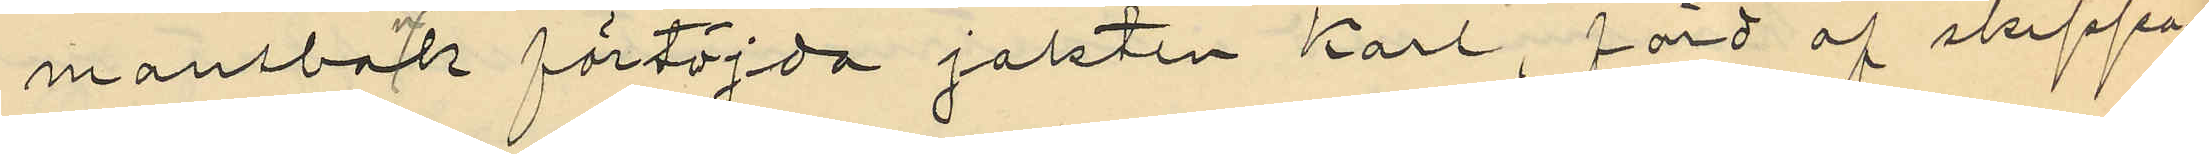mansbank förtöjda jakten "Karl", förd af skeppa¬
